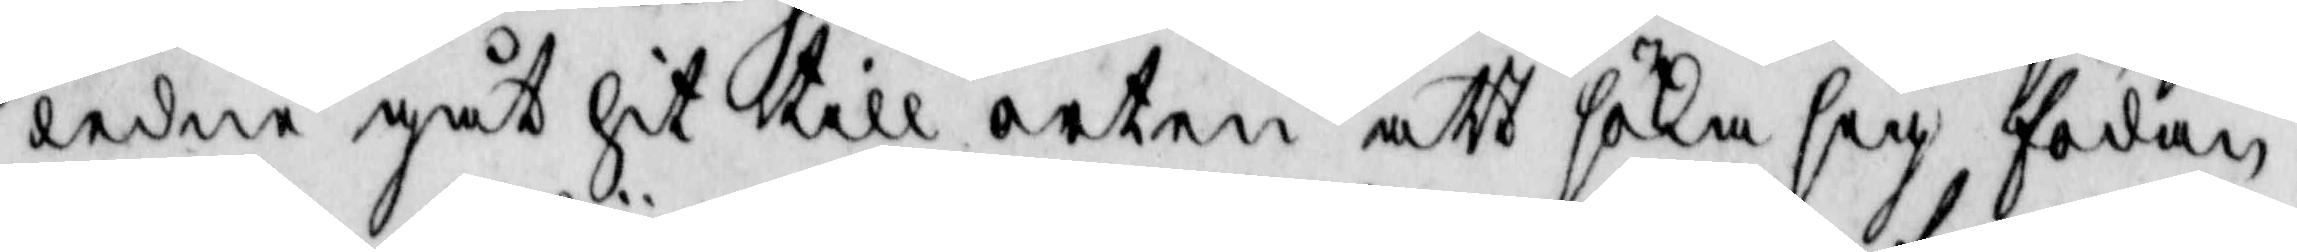ledne gåt hit till orten att söka sig födan
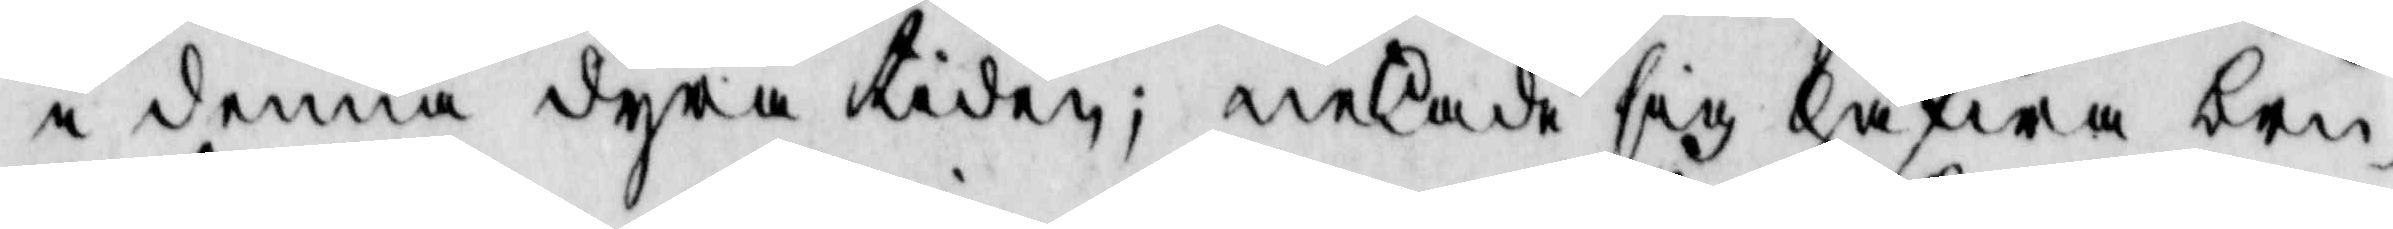i denna dyra tiden, nekade sig hafwa bru¬
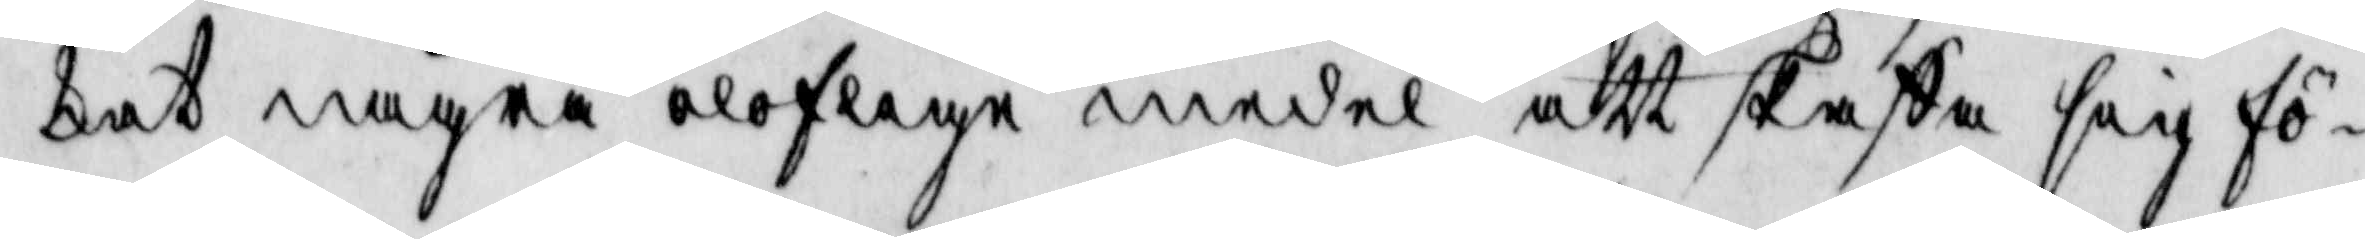kat några oloflige medel att skaffa sig fö¬
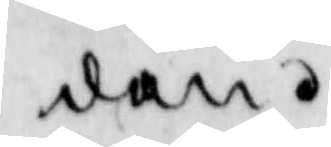dan.
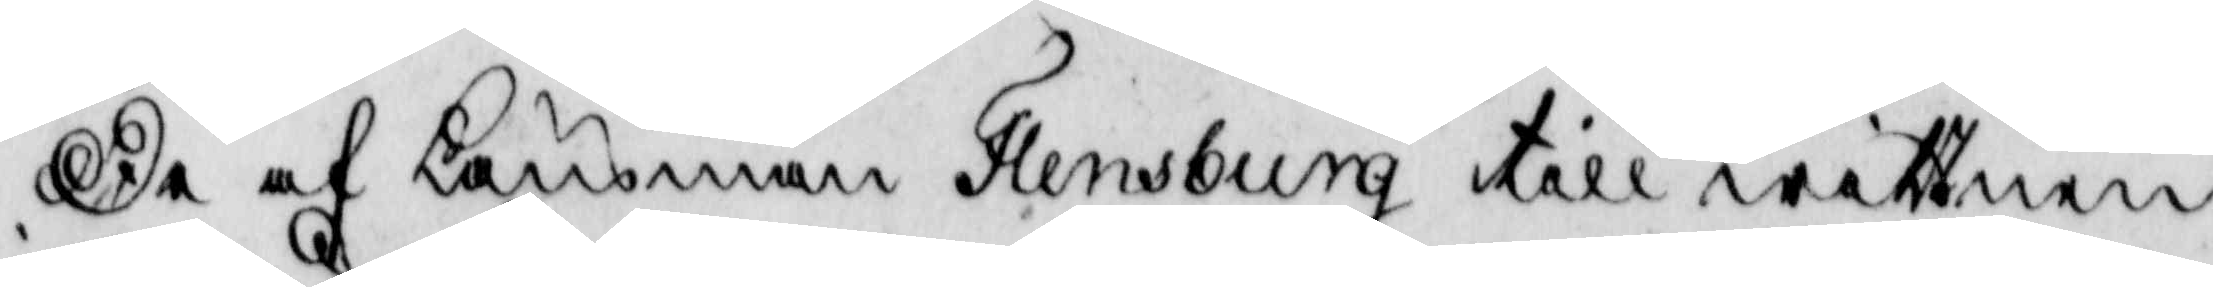De af Länsman Flensburg till wittnen
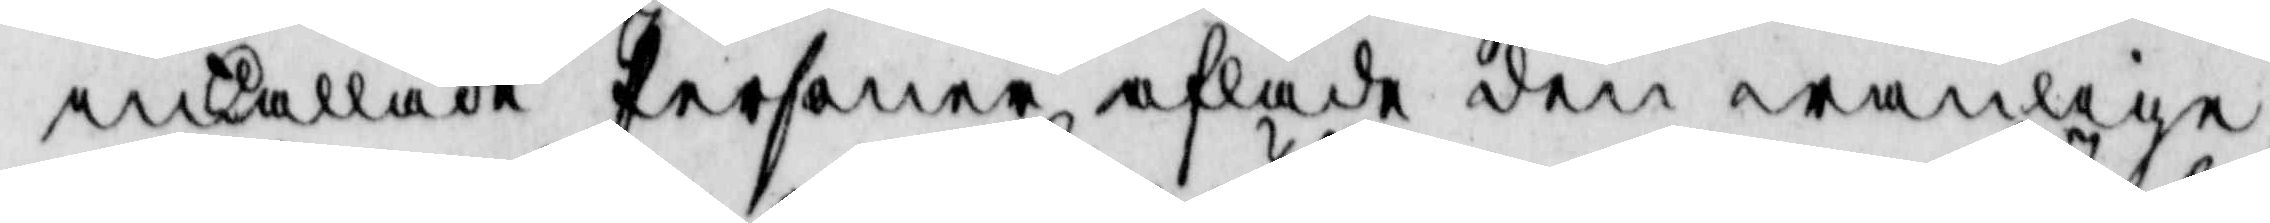inkallade Personerna aflade den wanlige
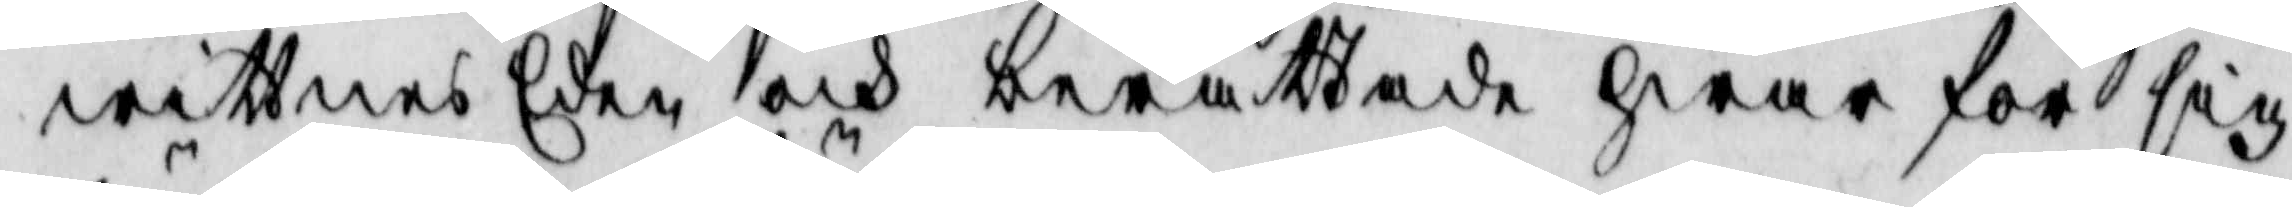wittnes Eden och berättade hwar för sig
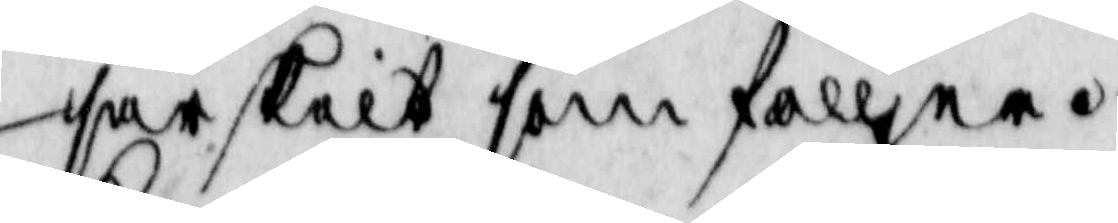särskilt som fölljer.
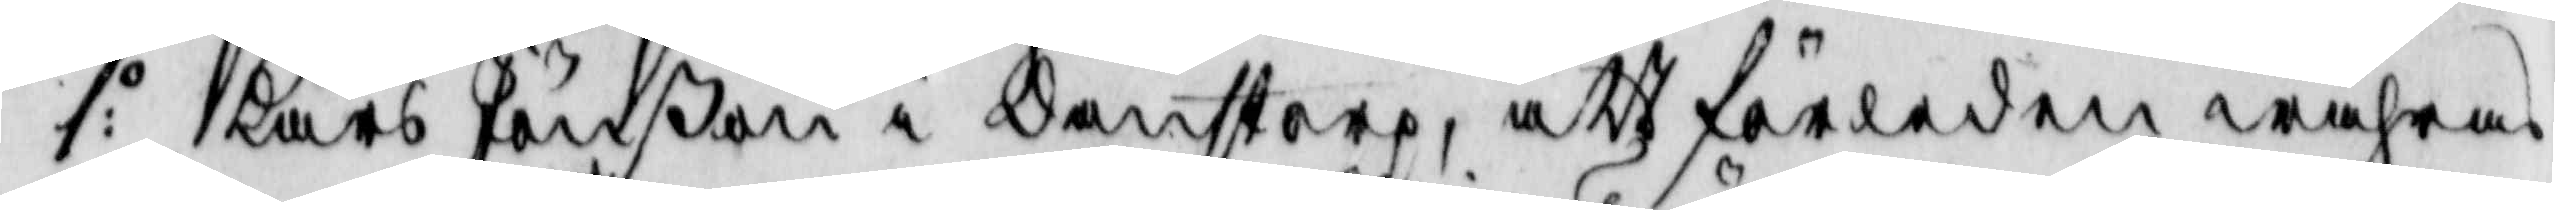1:o Lars Jönon i Dantorp, att förledne wåhras
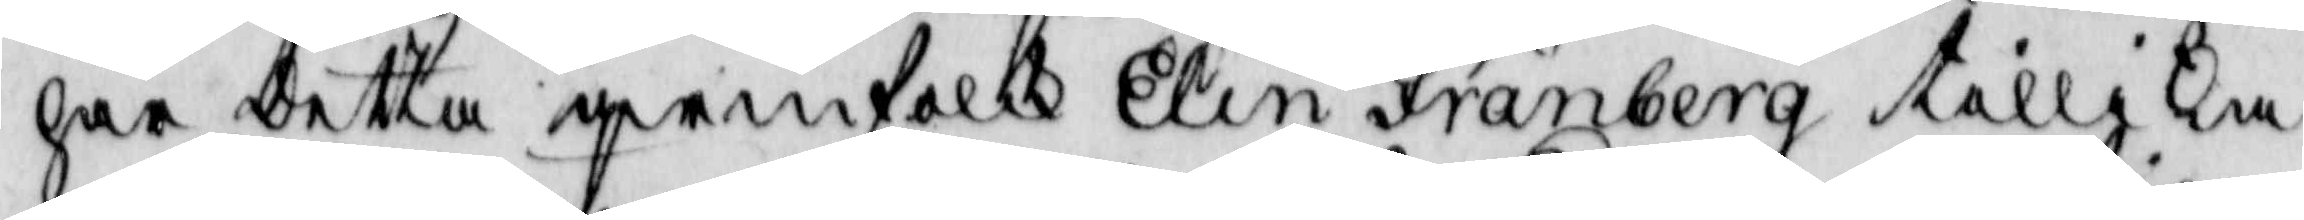har detta qwinfolk Elin Fränberg tillika
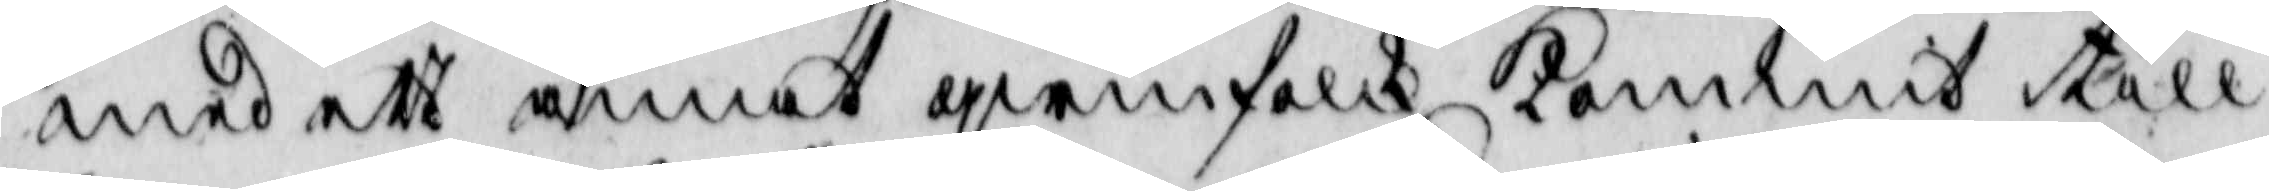med ett annat qwinfolk kommit till
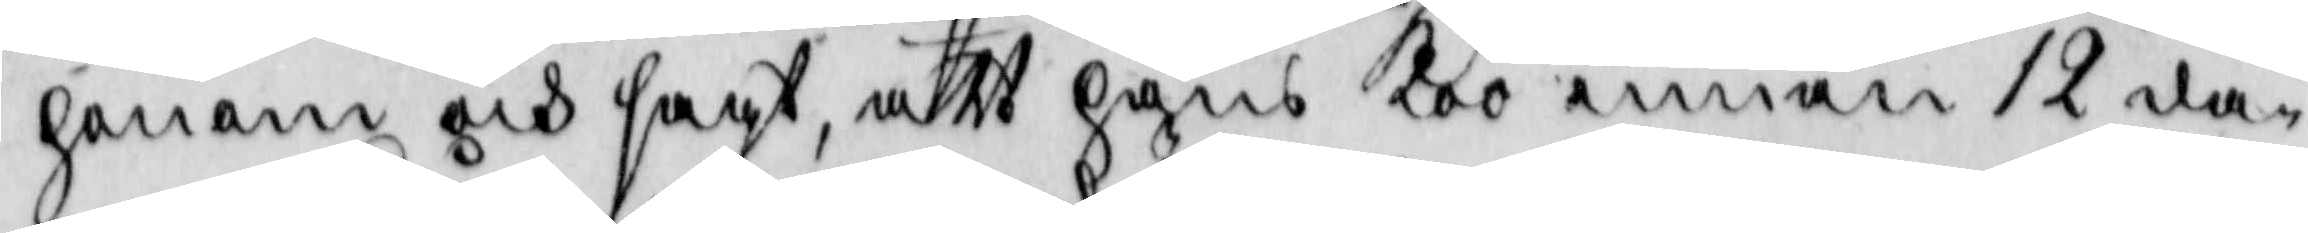honom och sagt, att hans koo innan 12 da¬
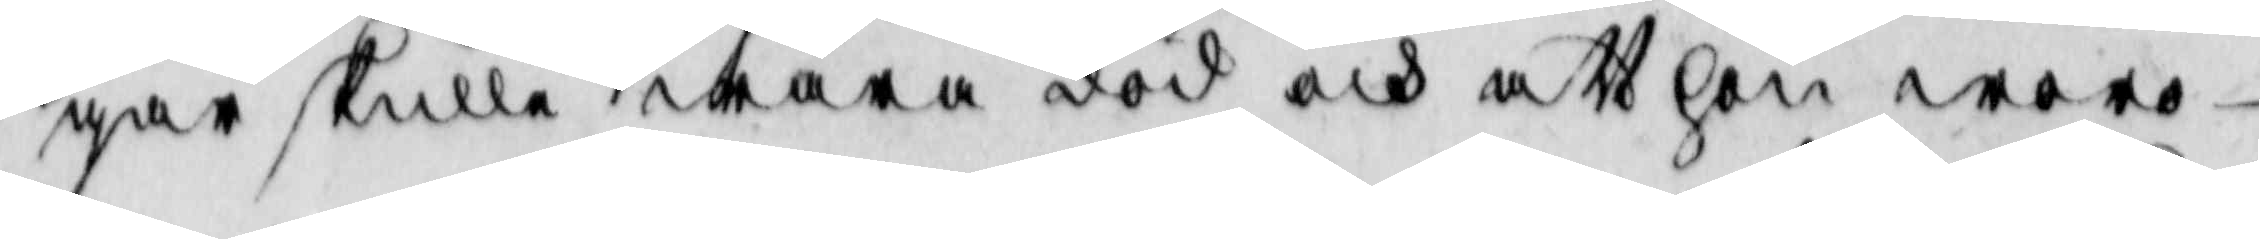gar skulle wara död och att hon woro
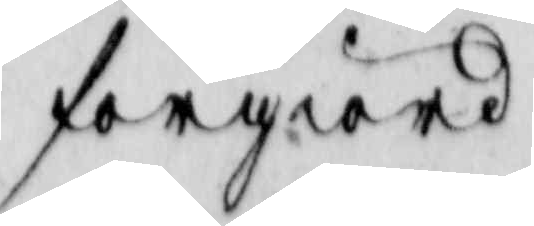förgiord
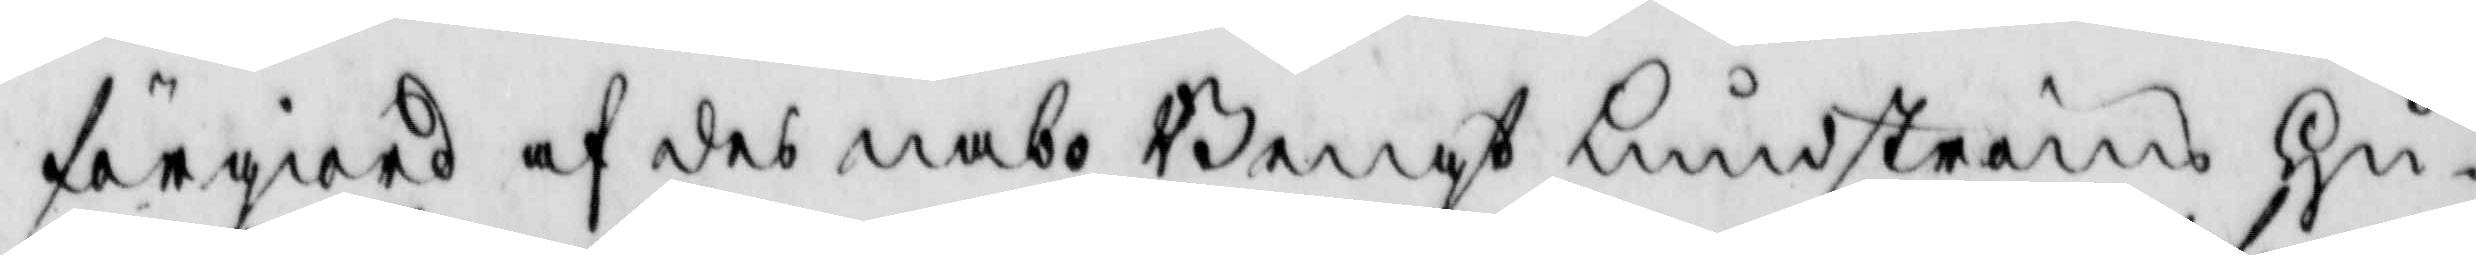förgiord af des nabo Bengt Lundströms hu¬
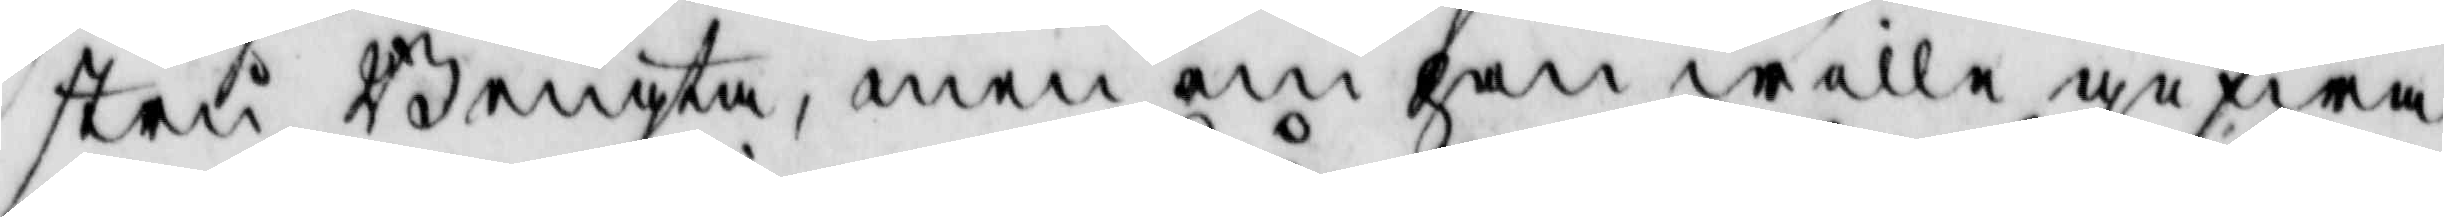stru Bengta, men om han wille gifwa
